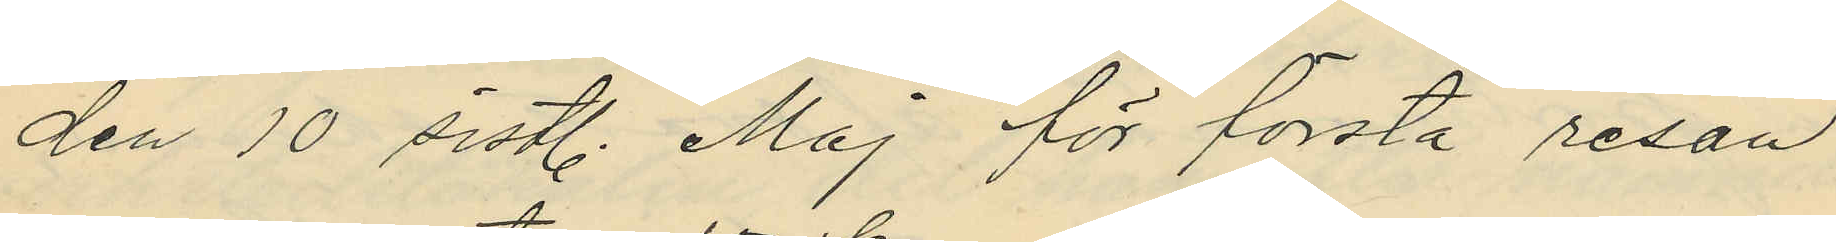den 10 sistl. Maj för första resan
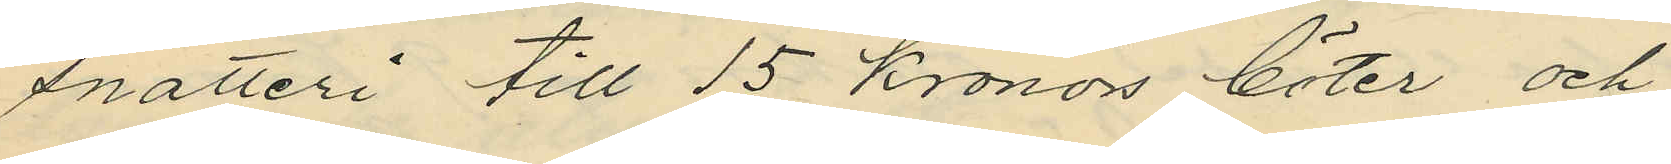snatteri till 15 kronors böter och
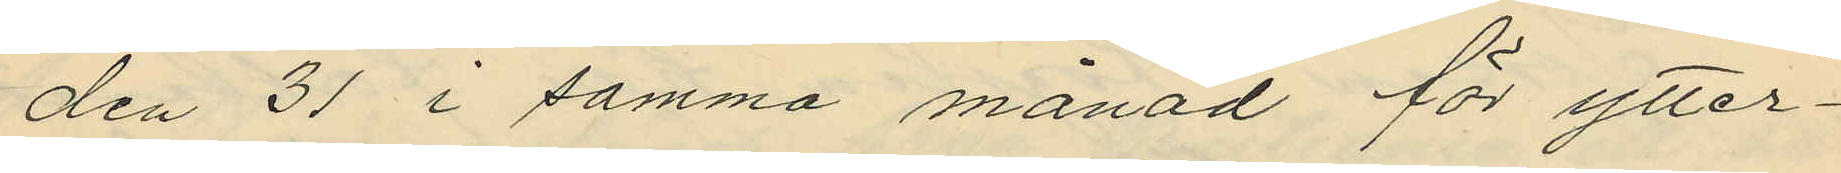den 31 i samma månad för ytter¬
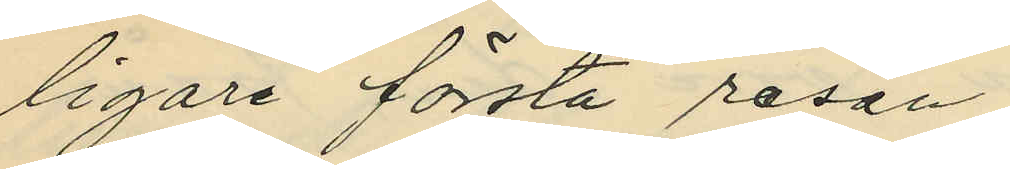ligare första resan 
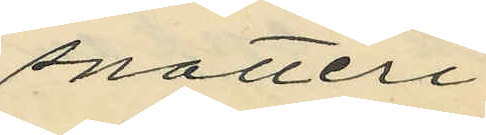snatteri
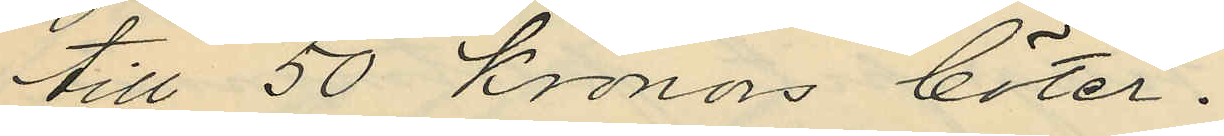till 50 kronors böter.
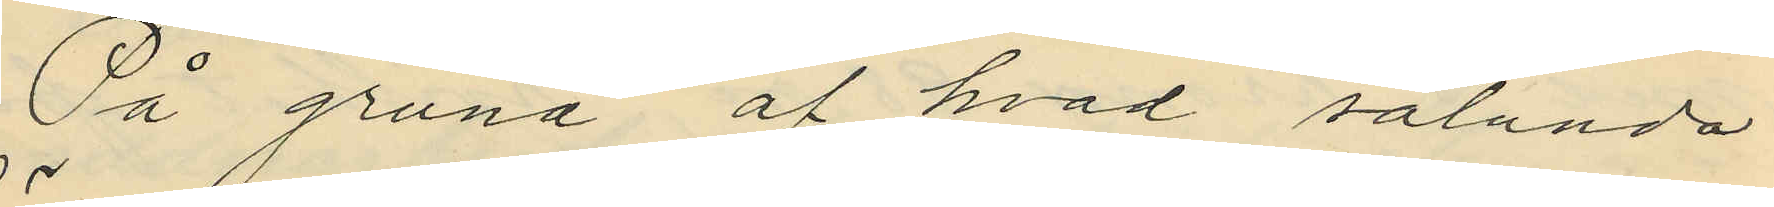På grund af hvad sålunda
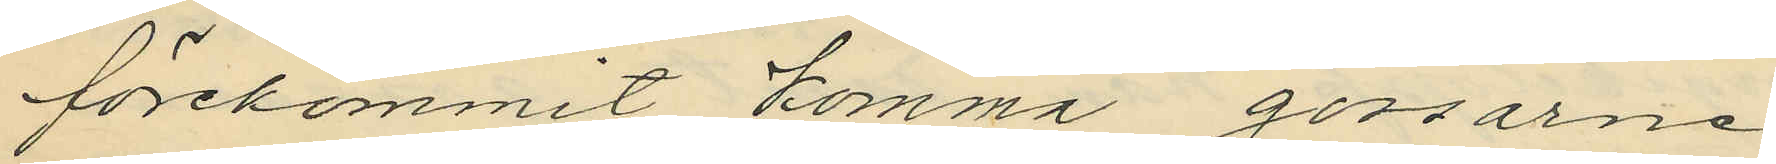förekommit komma gossarne
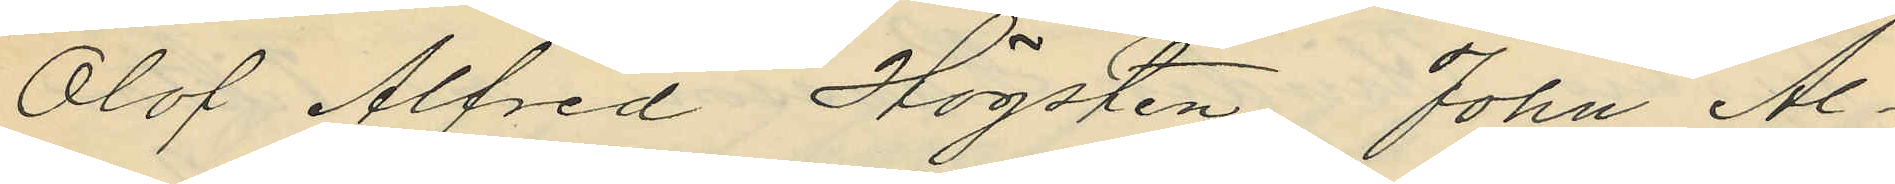Olof Alfred Högsten, John Al¬
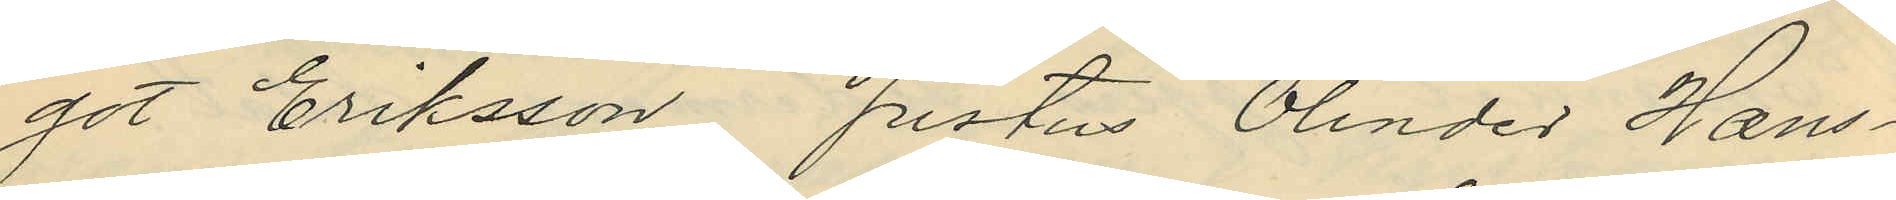got Eriksson, Justus Olinder Hans¬
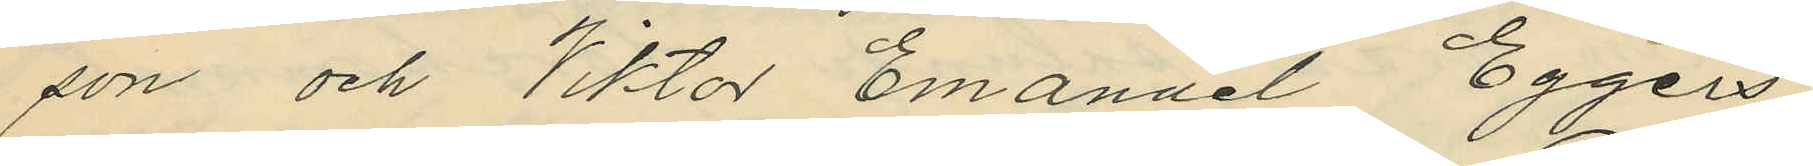son och Viktor Emanuel Eggers,
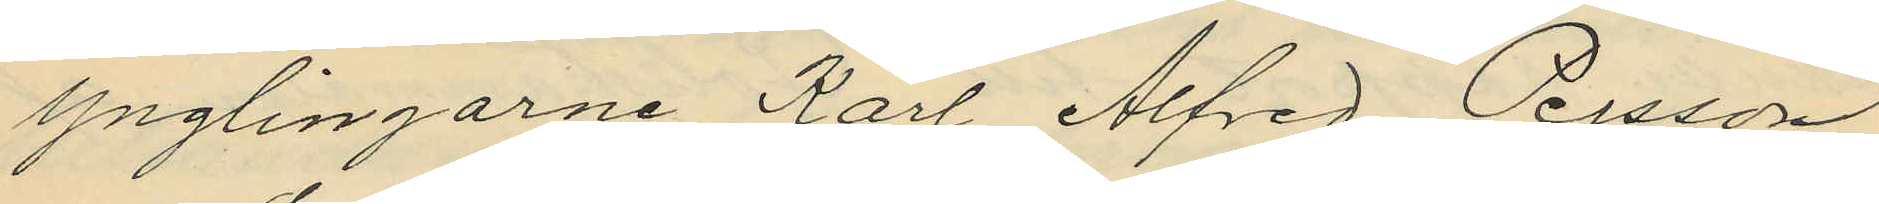ynglingarne Karl Alfred Persson
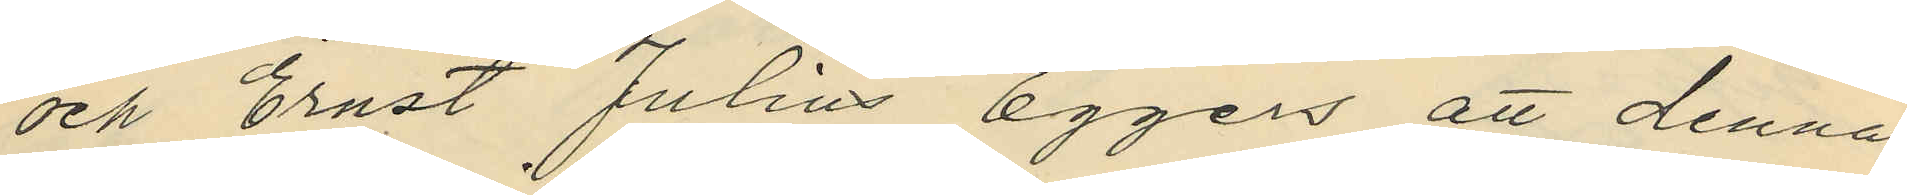och Ernst Julius Eggers att denna
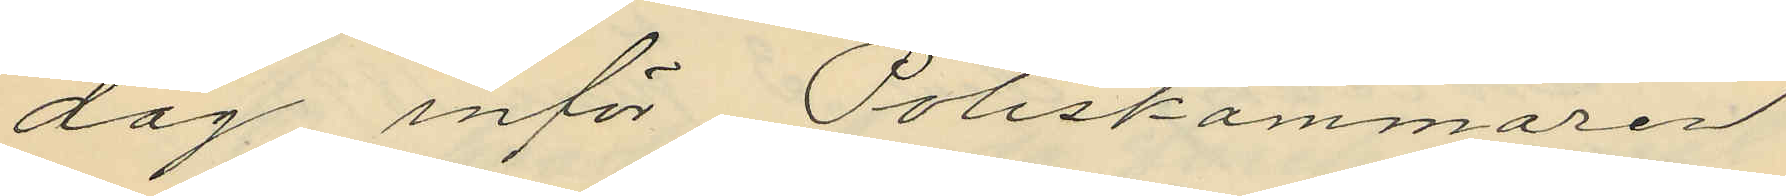dag inför Poliskammaren
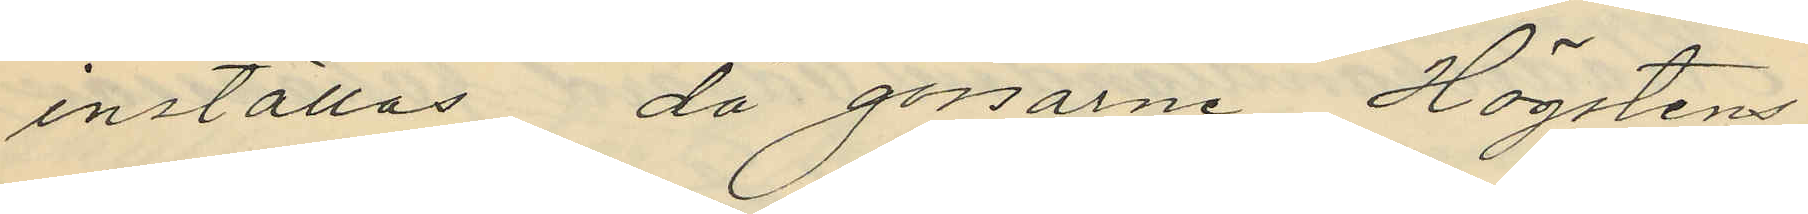inställas, då gossarne Högstens
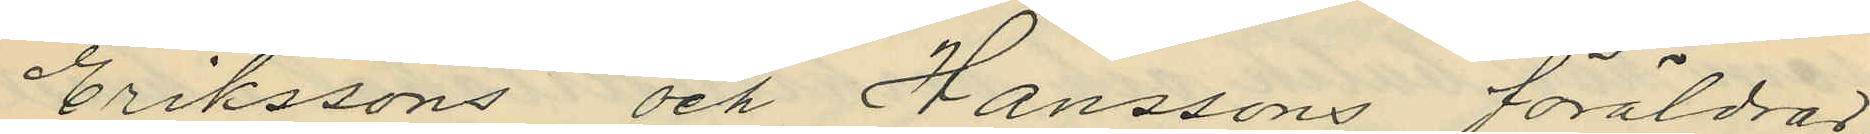Erikssons och Hanssons föräldrar
